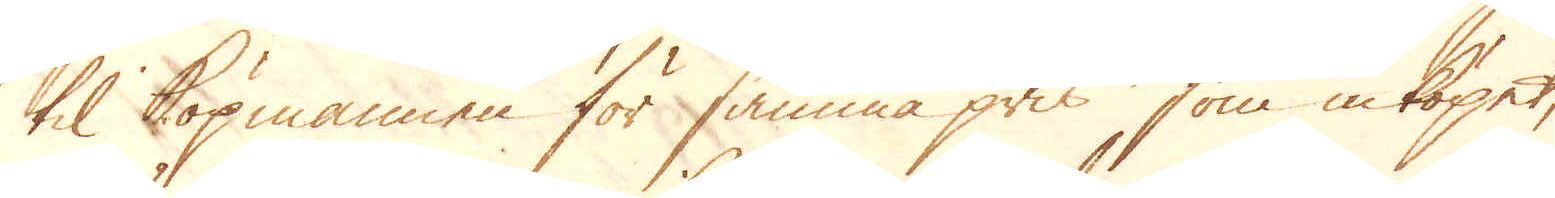til köpmannen för samma pris som inköpet,
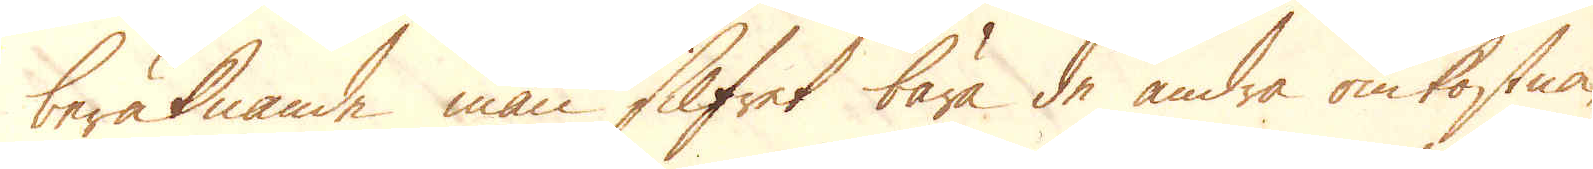beräknande man Silfret bära de andra omkostna-
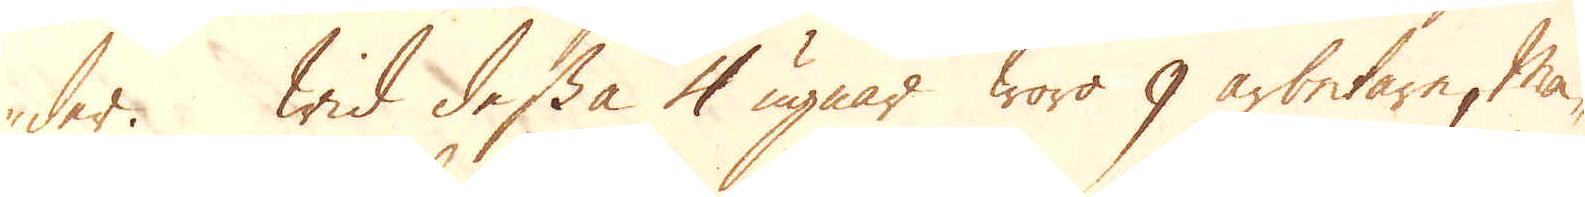der. Wid dessa 4 ugnar woro 9 arbetare, mä-
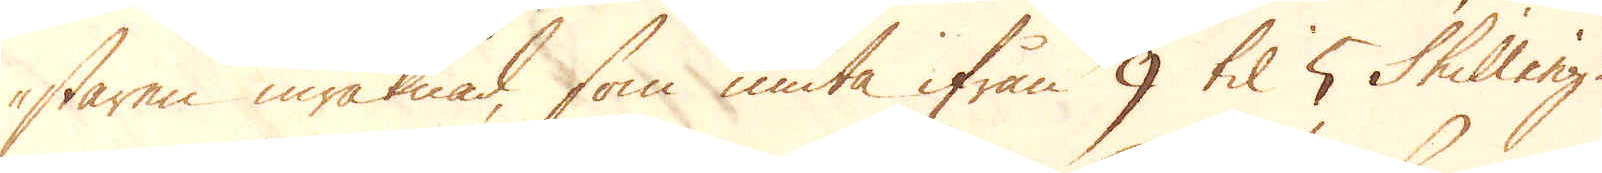staren inräknad, som niuta ifrån 9 til 5 skilling
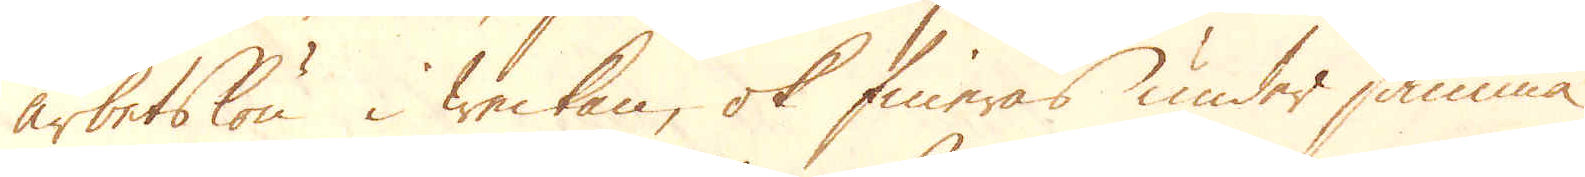arbetslön i weckan, ok fineras under samma
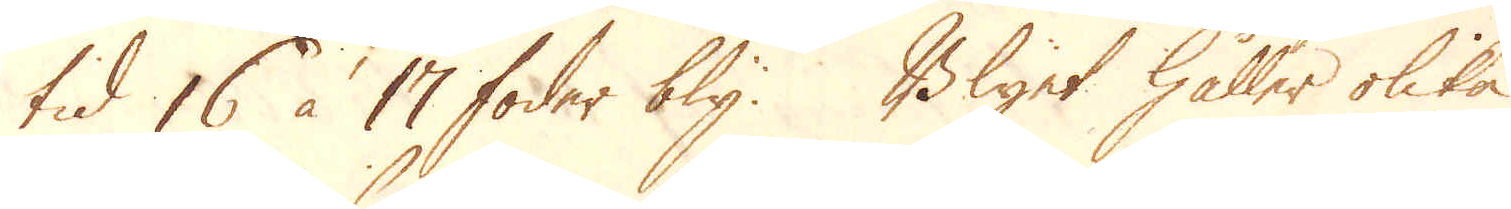tid 16 à 17 foder bly. Blyet håller olika
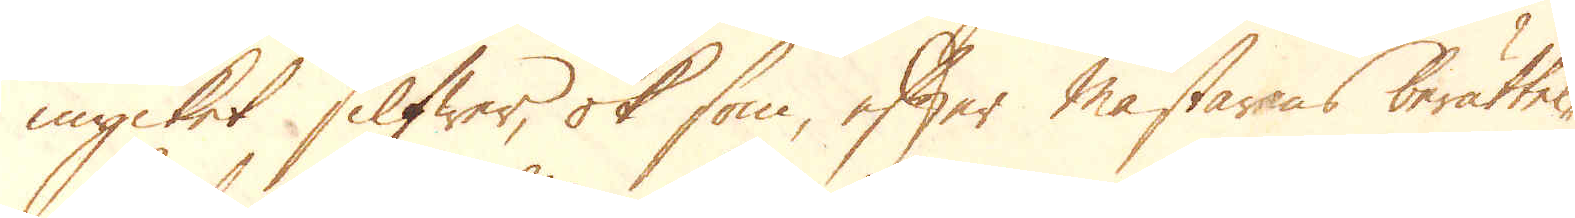mycket silfwer, ok som, efter mästarens berättel-
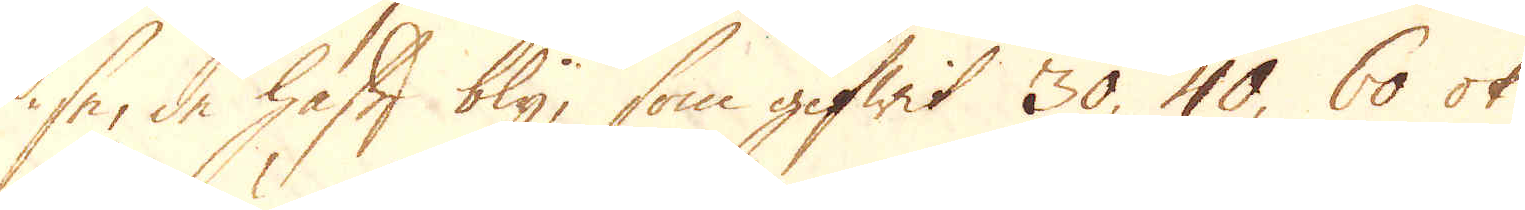se, de haft bly, som gifwit 30, 40, 60 ok
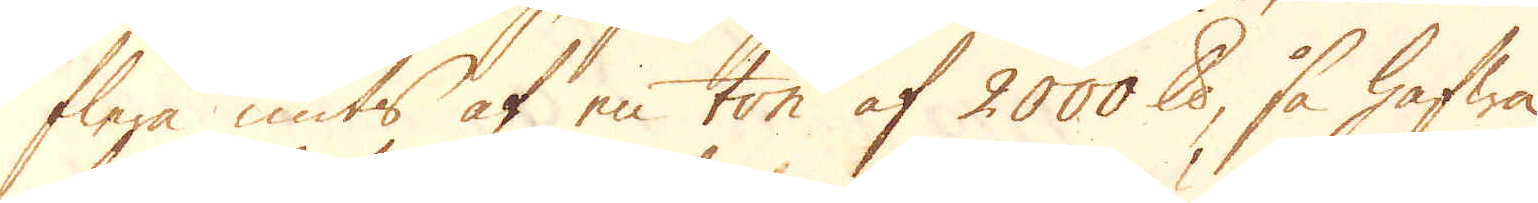flera unts af en ton af 2000 ound, så hafwa
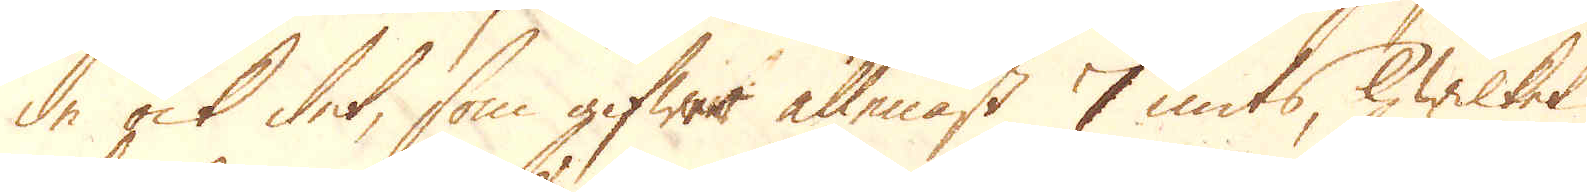de ock det, som gifwer allenast 7 unts, hwilket
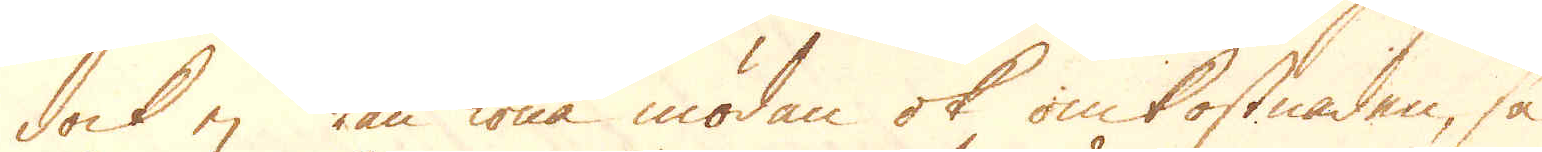dock ej kan löna mödan ok omkostnaden, så
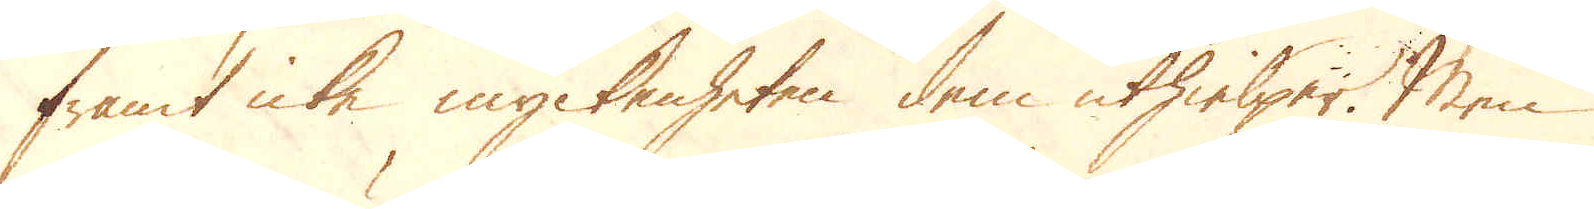framt icke myckenheten dem uthielper. Men
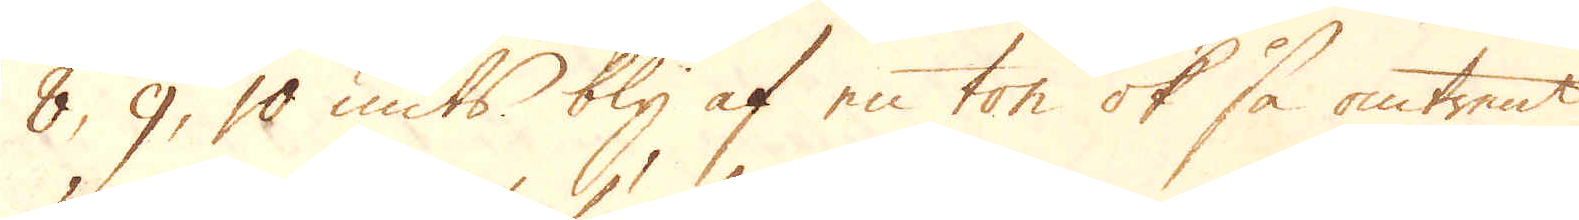8, 9, 10 unts bly af en ton ok så omtrent
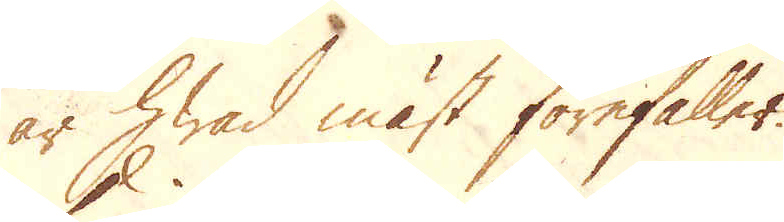är hwad mäst förefaller.
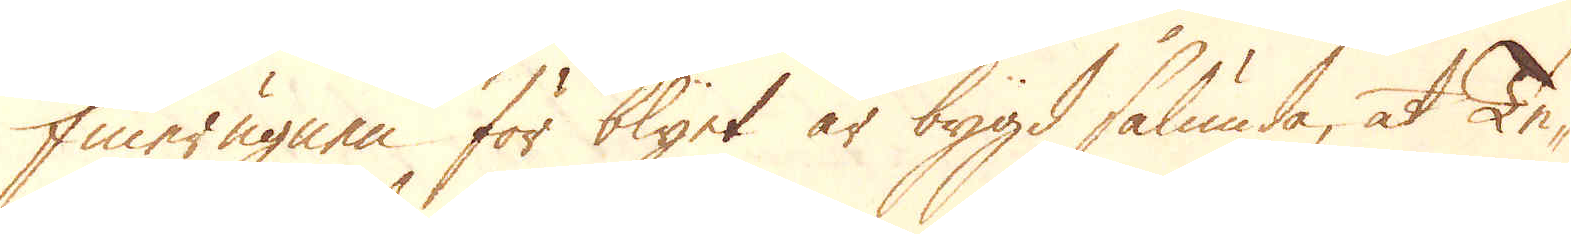Finerugnen för blyet är bygd sålunda, at Te-
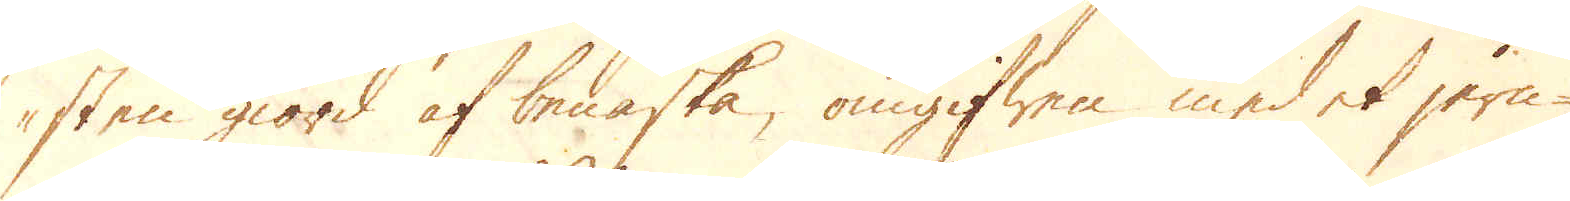sten giord af benaska, omgifwen med et jern-
